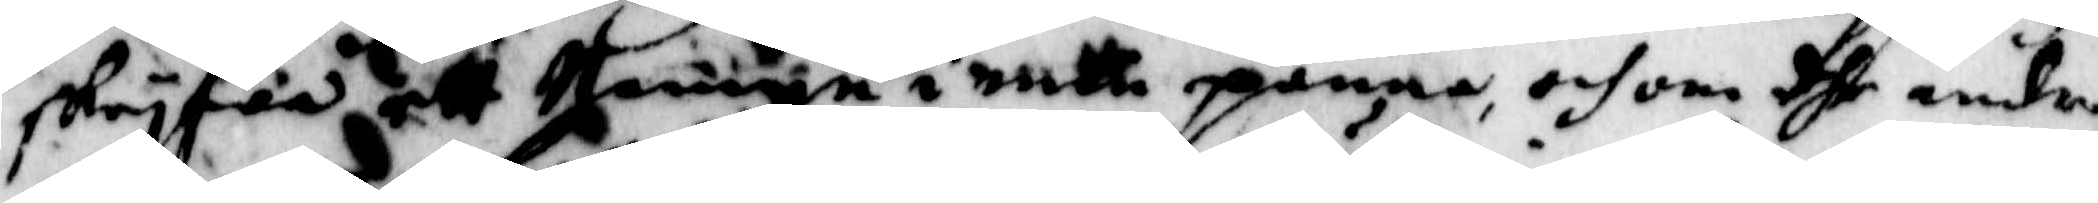skryfwa ett Nampn i nntt penna, och om dhe andre
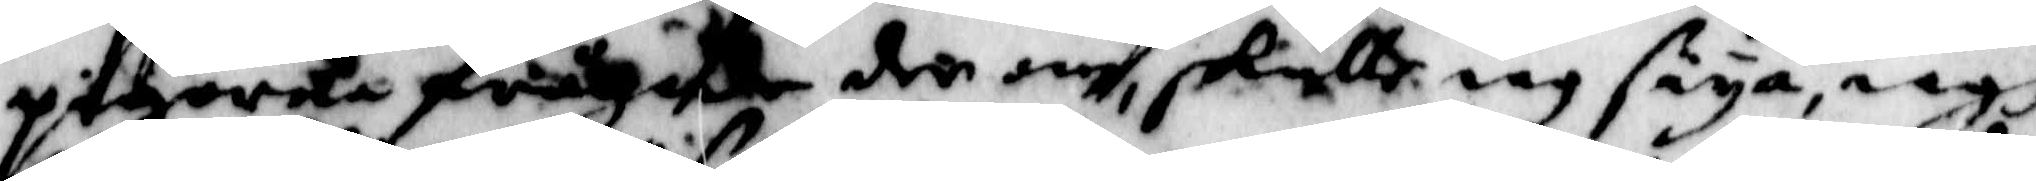pigorne frågade der om skulle iag säya, iagh
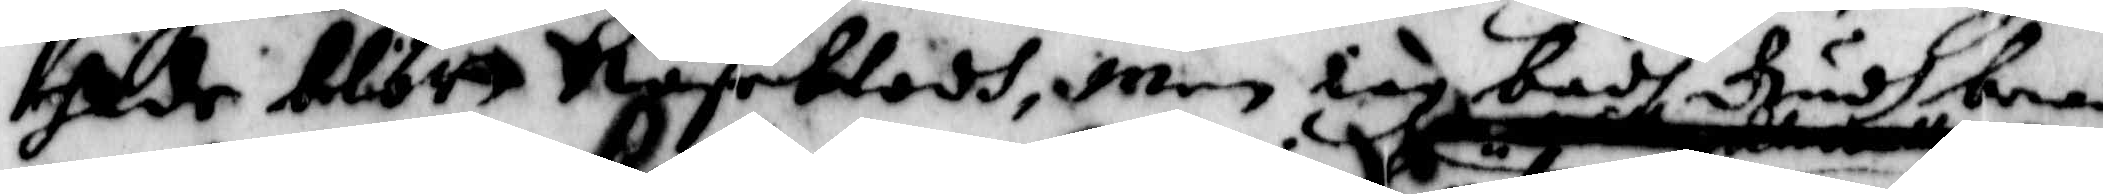hade blött Näseblodh, Men iag badh Gudh bew¬
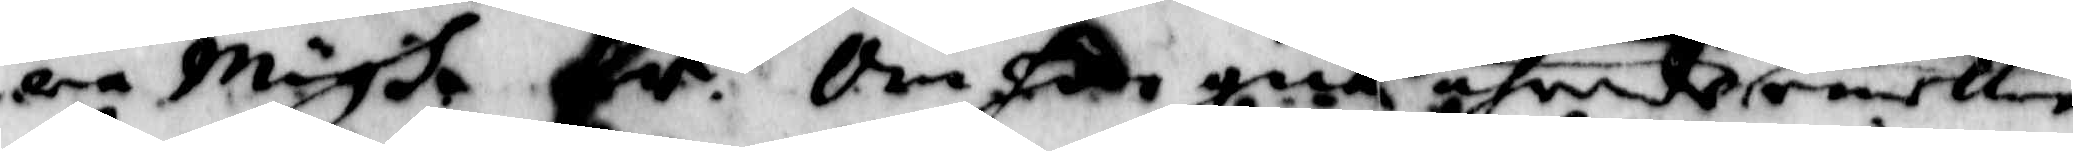ara Migh. Fr. Om hon gick ährende emellan
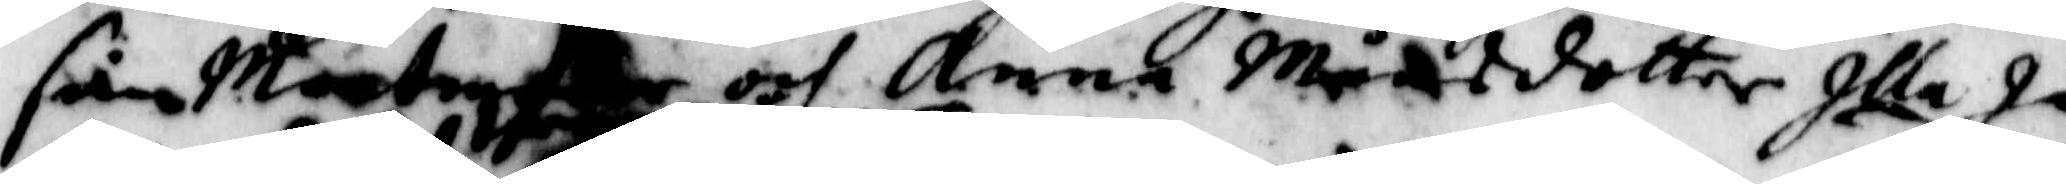sin Maatry och Anna Månsdotter Illa Ja,
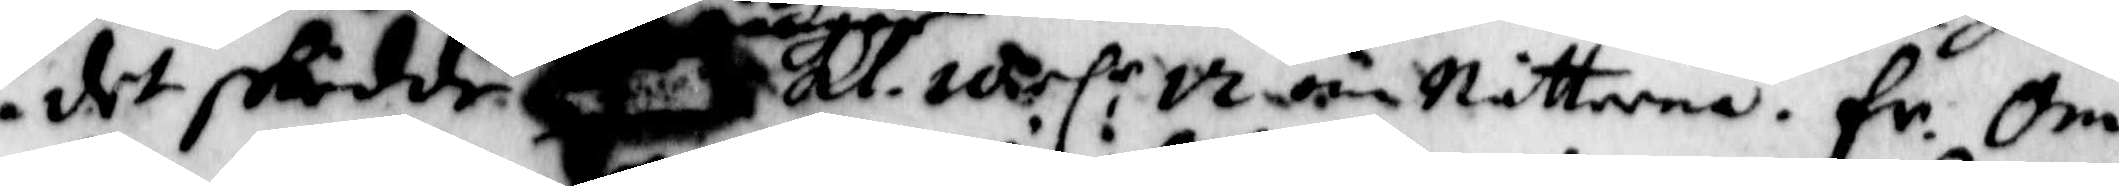det skedde Kl. iarl:r om Nätterna. Fr. Om
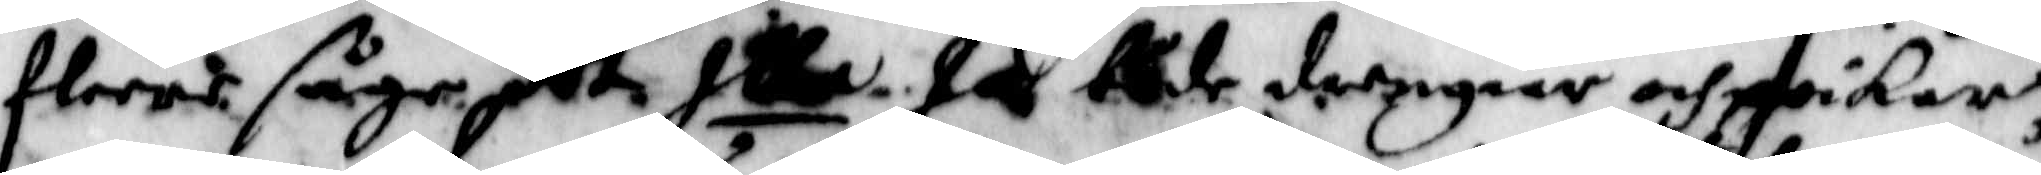flere såge det Illa Ja både drengiar och poikar,
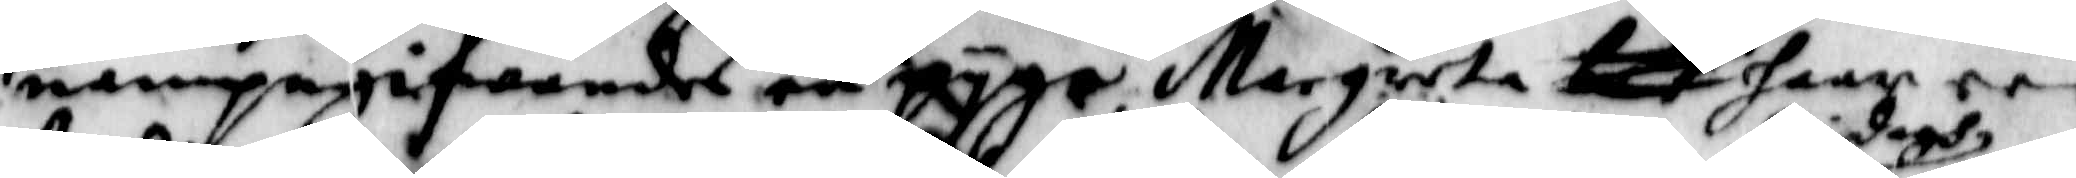nampngifwandes en pyga. margreta haar rå¬
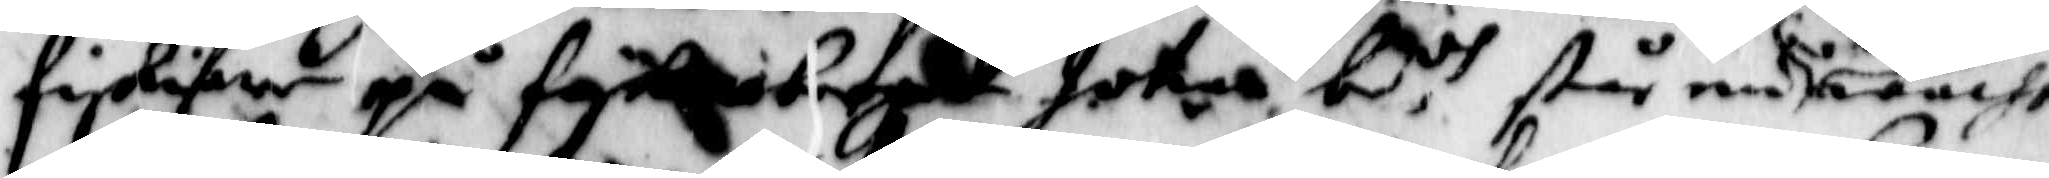fiskiare på fyk berget Jotar be.dh står nu i dagh wacht
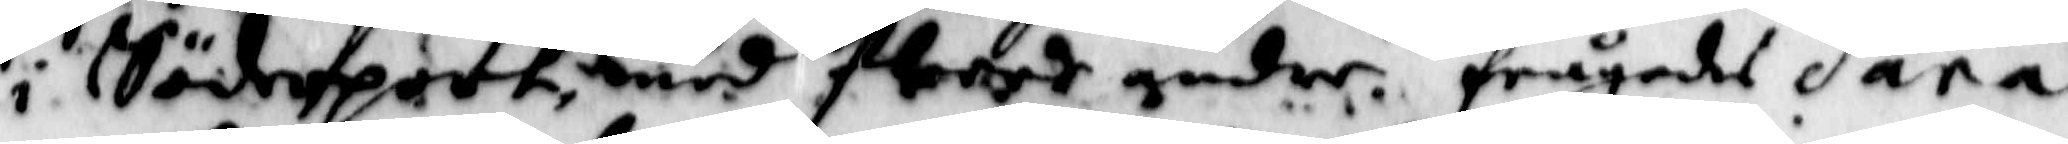i Söderport, med flere andre. frågades Sara
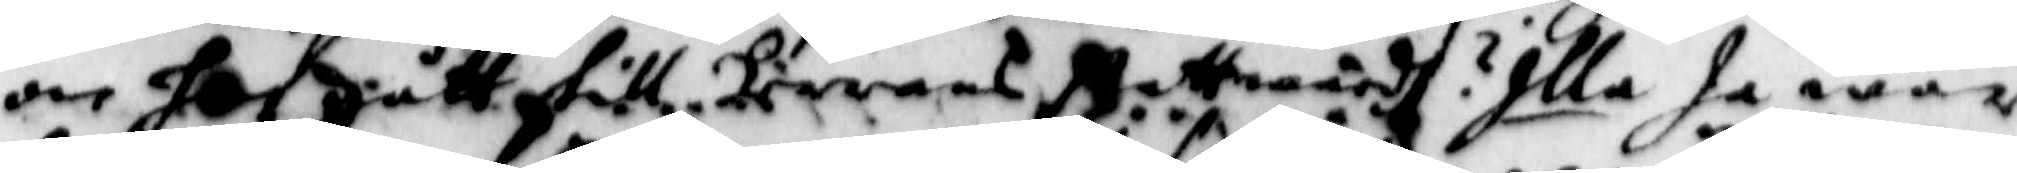om hon gått till Herrans nattward? Illa Ja war
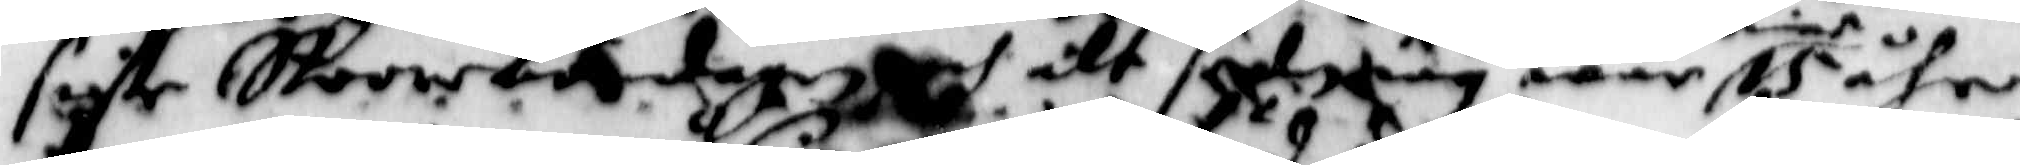siste Stoore böndagen och alt sedan iag war mine 15 åhr.
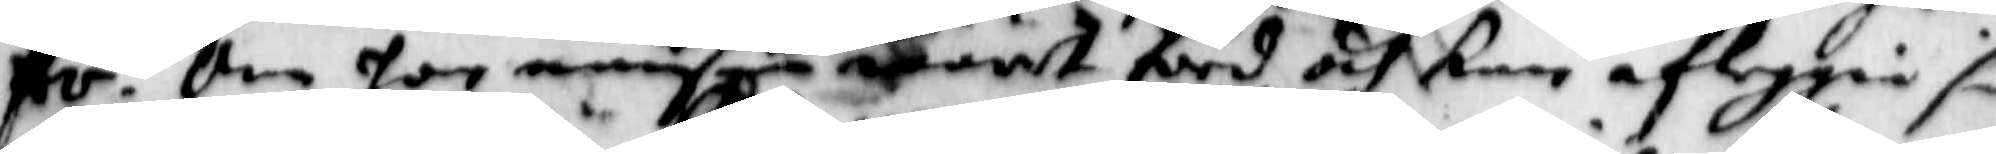Fr. Om hon nånsin warit förd, och kan afleggia sin
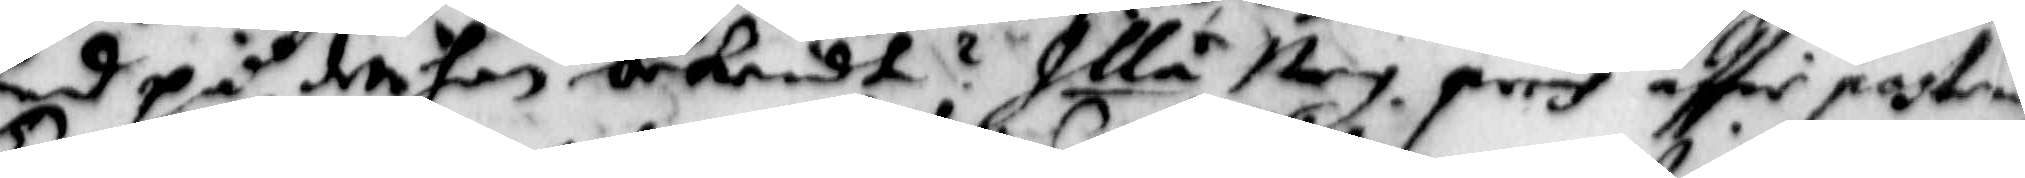Eed på det hon bekendt? Illa Ney. prinh eftter postring
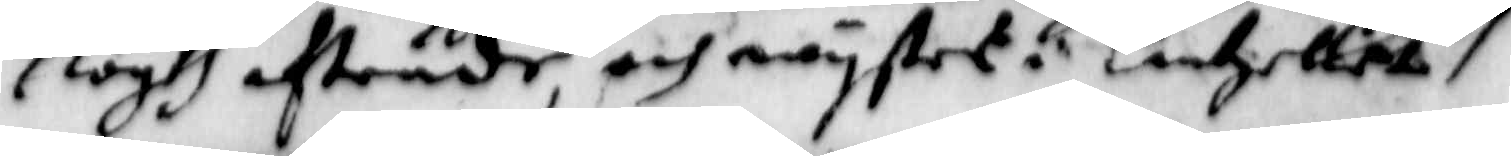Togh afträde och wystet i Cantzelliet. 
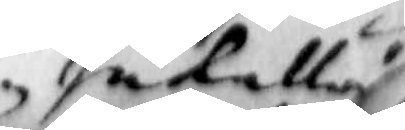Inkallad
